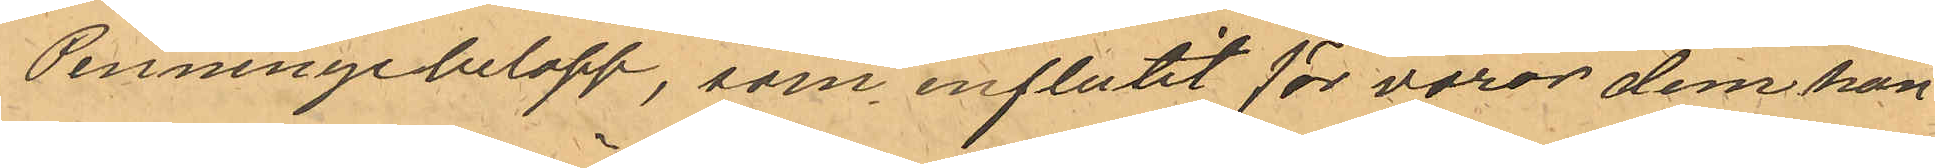Penningebelopp, som influtit för varor dem han
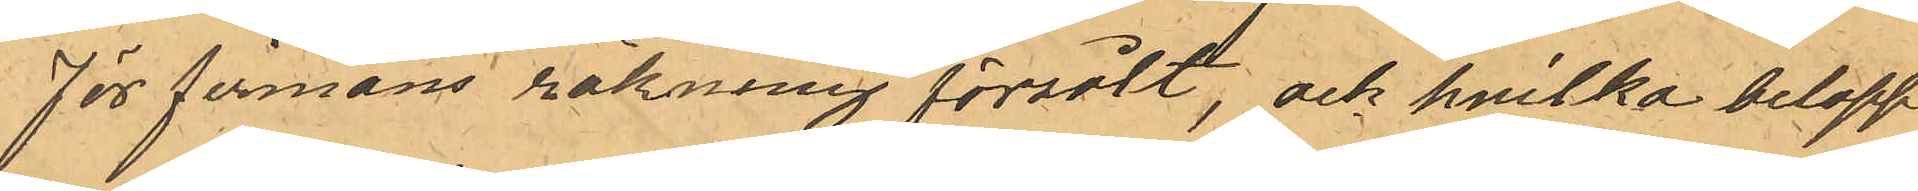för firmans räkning försålt; och hvilka belopp
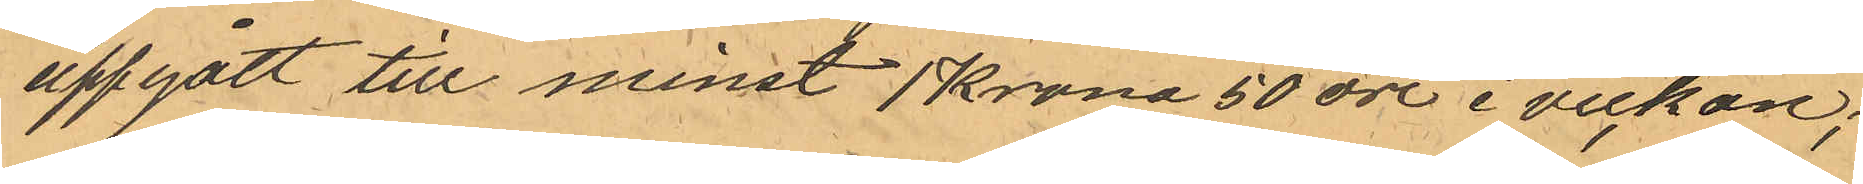uppgått till minst 1 krona 50 öre i veckan;
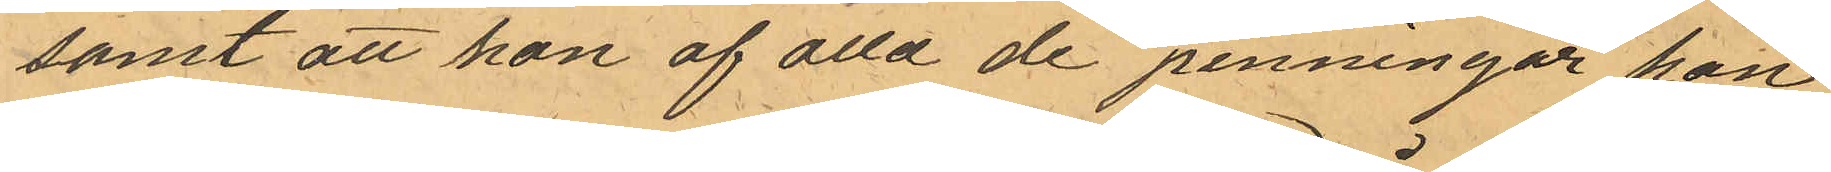samt att hon af alla de penningar han
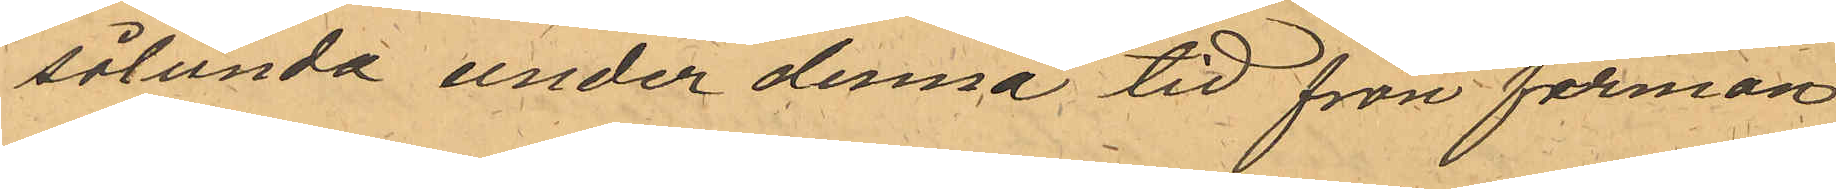sålunda under denna tid från firman
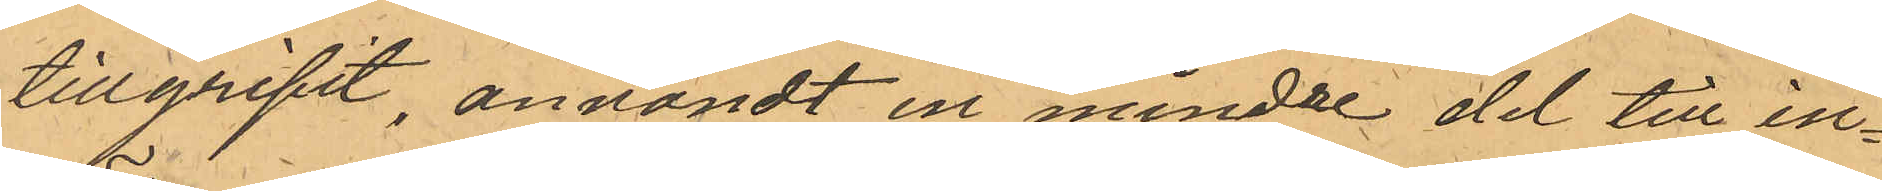tillgripit, användt en mindre del till in¬
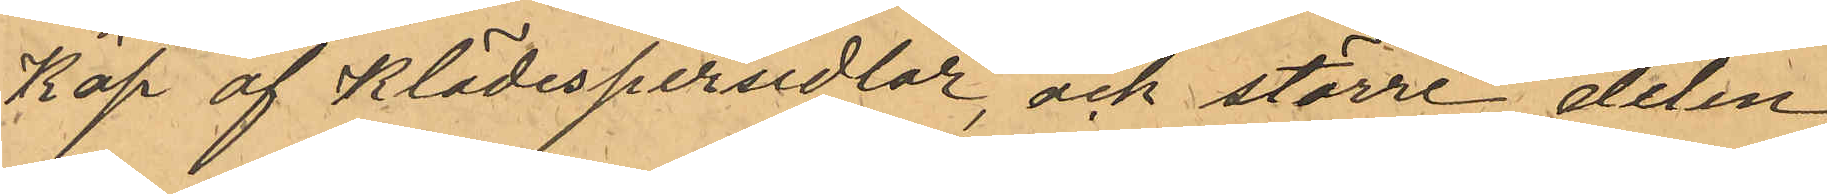Köp af Klädespersedlar, och större delen
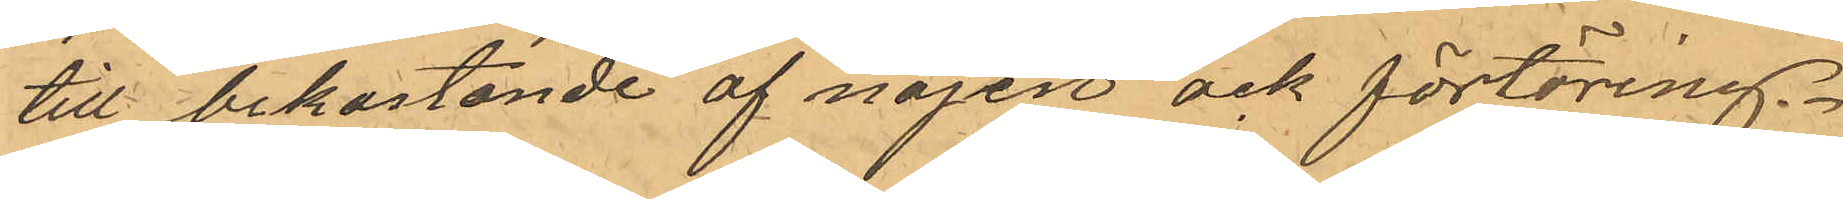till bekostande af nöjen och förtäring.
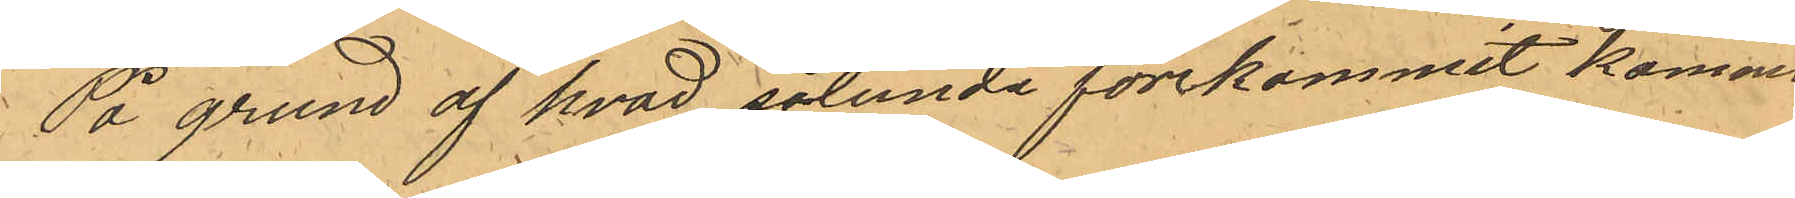På grund af hvad sålunda förekommit kommer
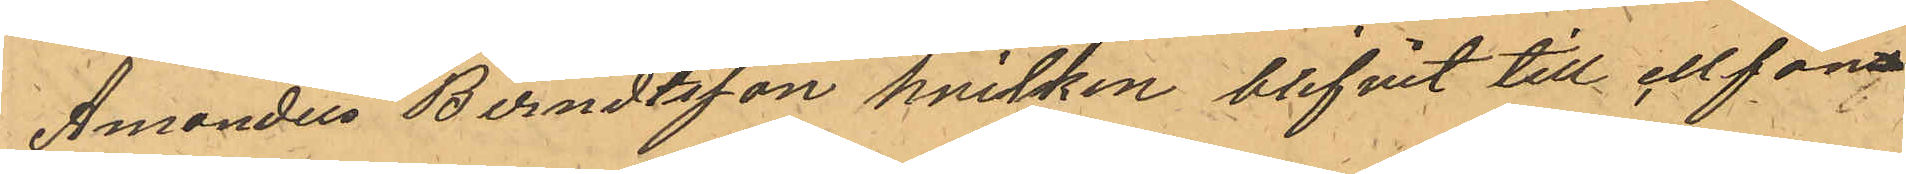Amandus Berndtsson hvilken blifvit till cllfän¬
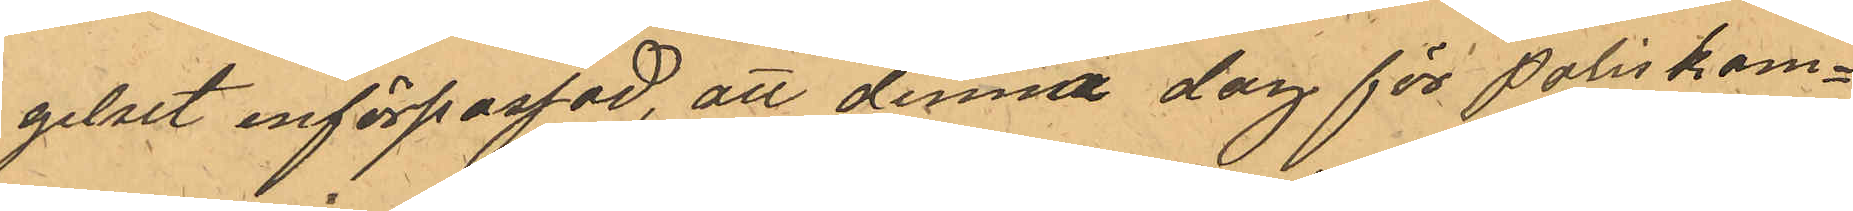gelset införpassad, att denna dag för Poliskam¬
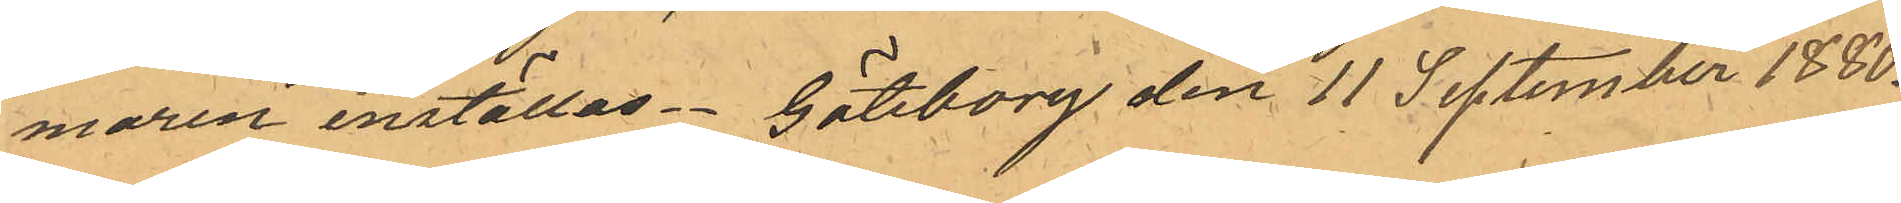maren inställas. Göteborg den 11 September 1880.
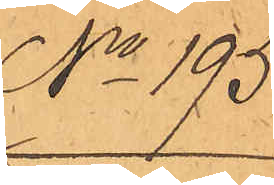No 195.
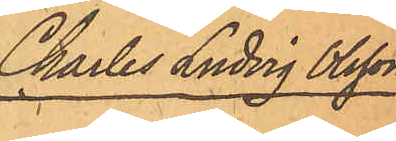Charles Ludvig Olsson
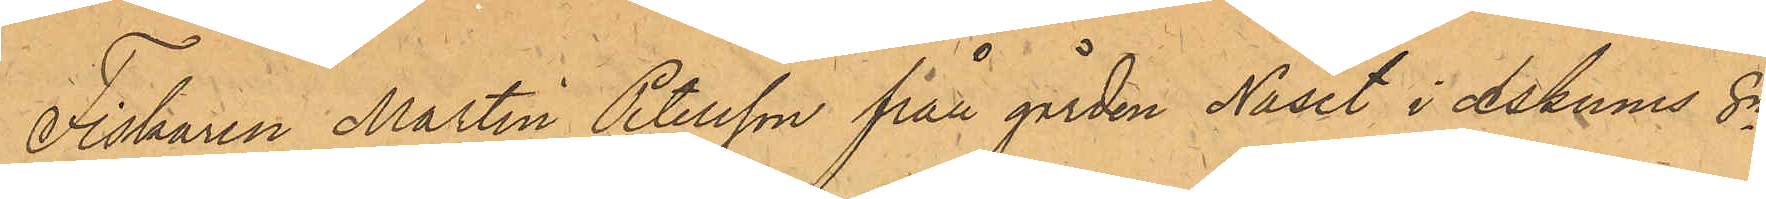Fiskaren Martin Petersson från gården Näset i Askums Sn,
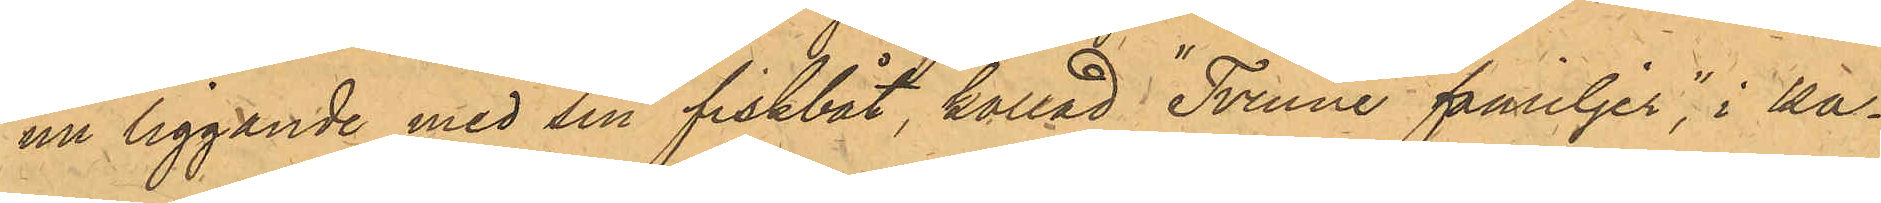nu liggande med sin fiskbåt, kallad "Tvenne familjer", i ka¬
